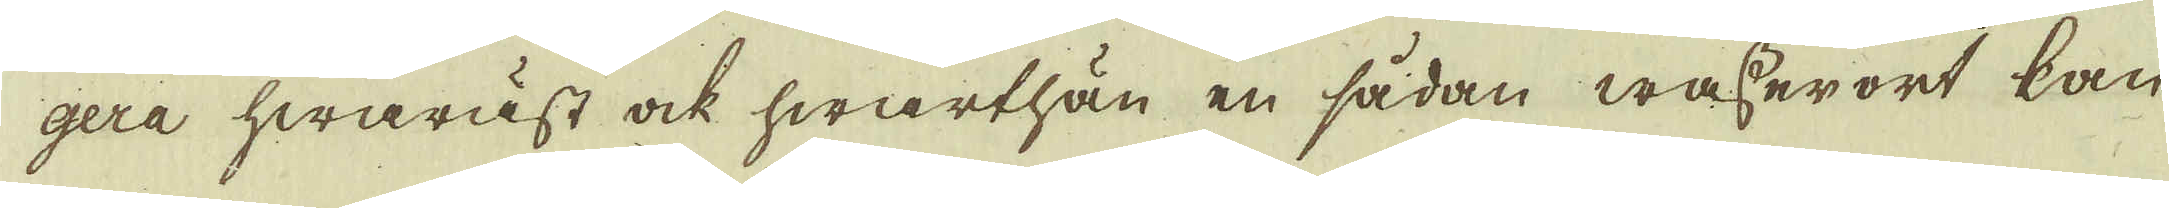gera hwaräst ock hwarthän en sådan wasser ort kan
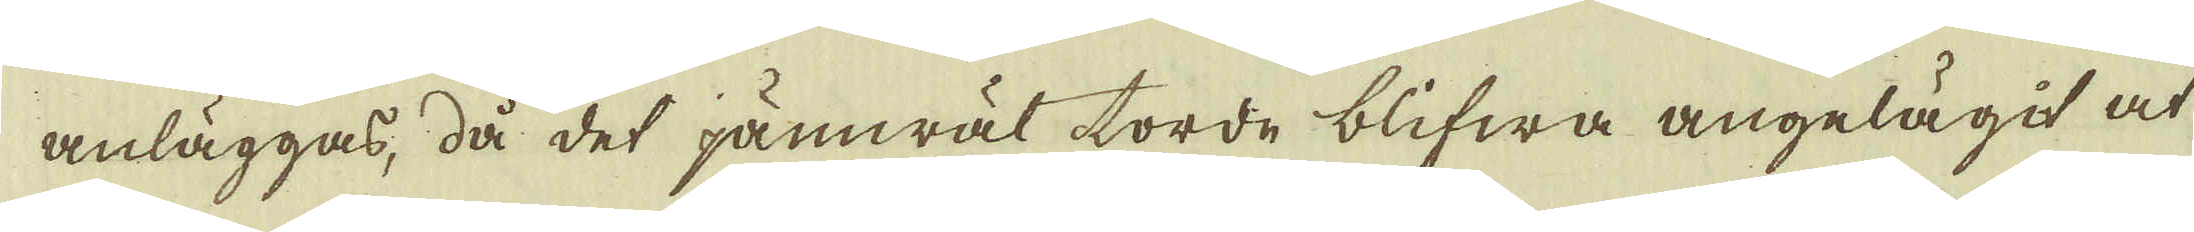anläggas, då det jämwäl torde blifwa angelägit at
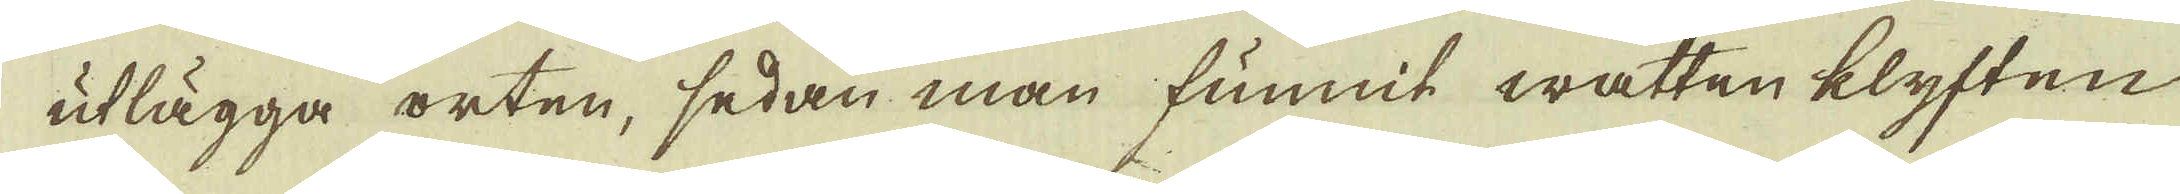utlägga orten, sedan man funnit watten klyften
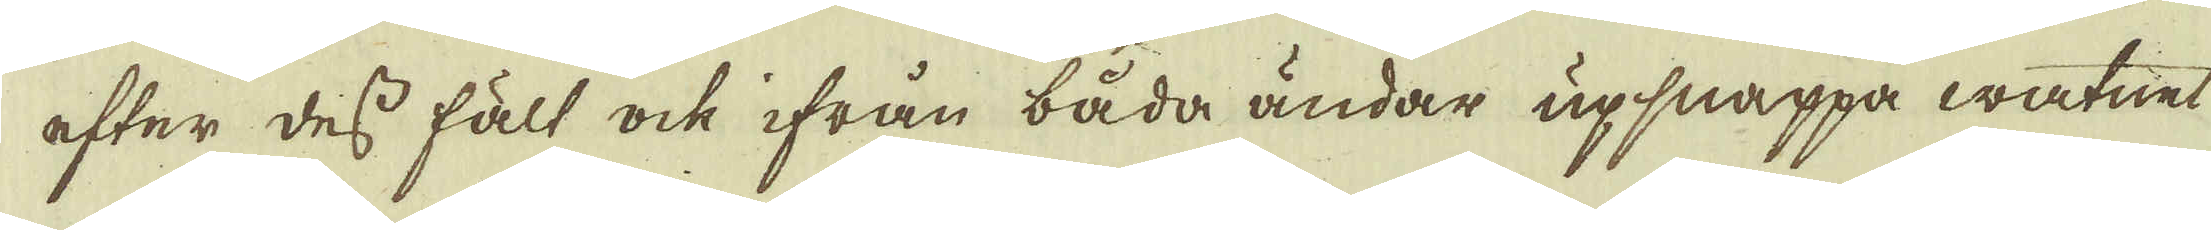efter dess fält ock ifrån båda ändar upsnappa watnet
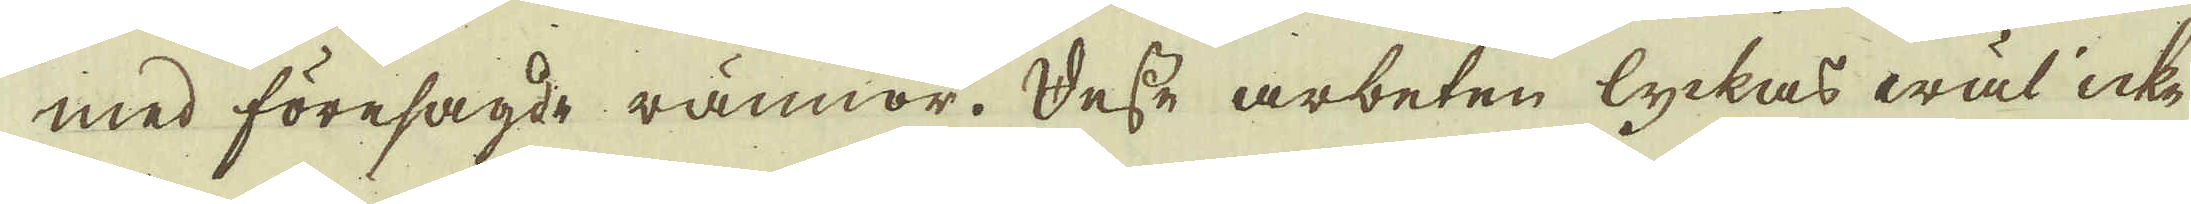med föresagde rännor. Desse arbeten lyckas wäl icke
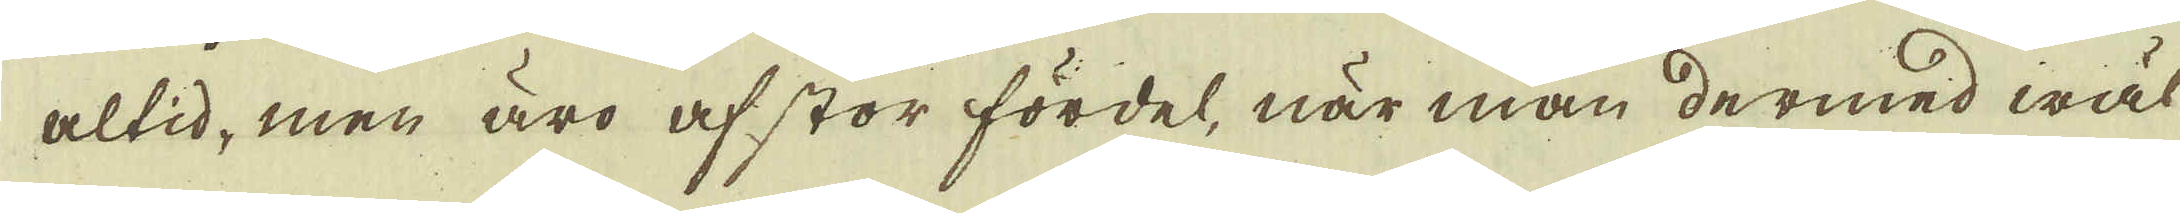altid, men äro af stor fördel, när man dermed wäl
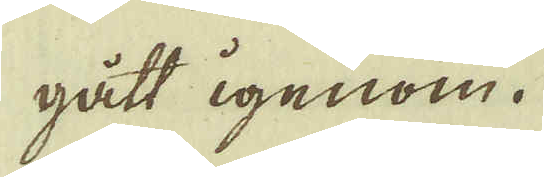gått igenom.
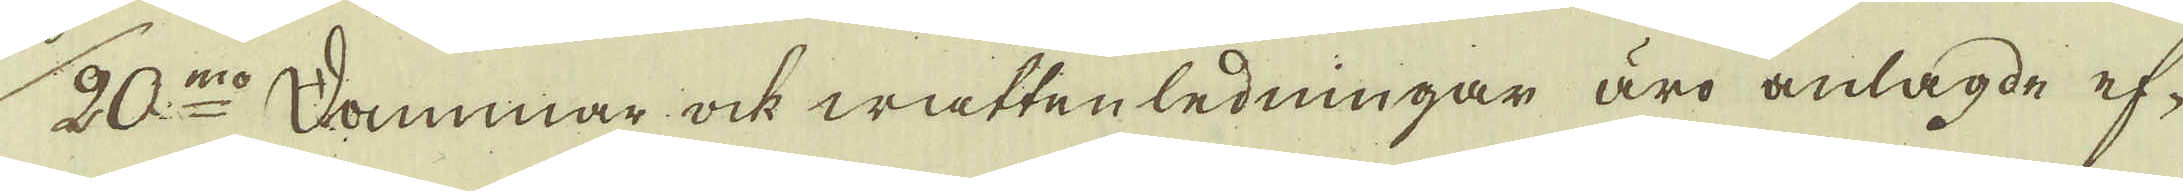20:mo Dammar ock wattenledningar äro anlagde ef-
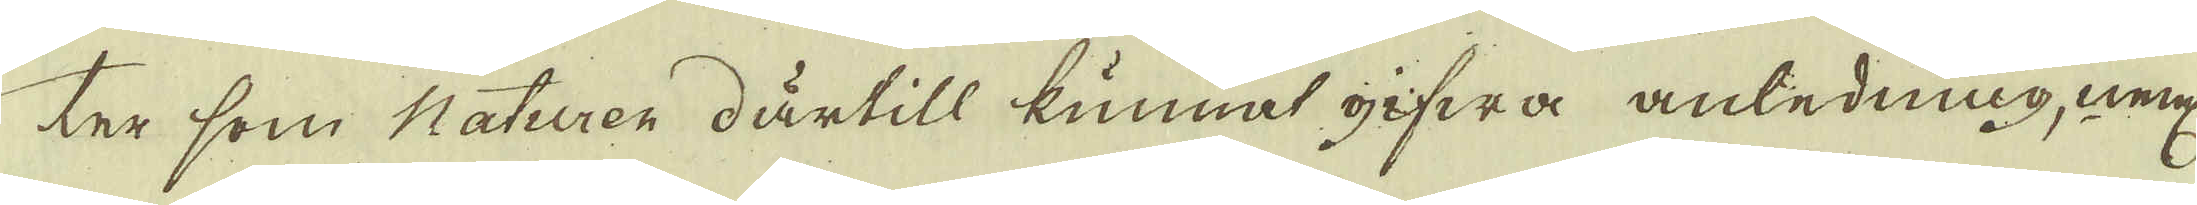ter som Naturen därtill kunnat gifwa anledning, neml:
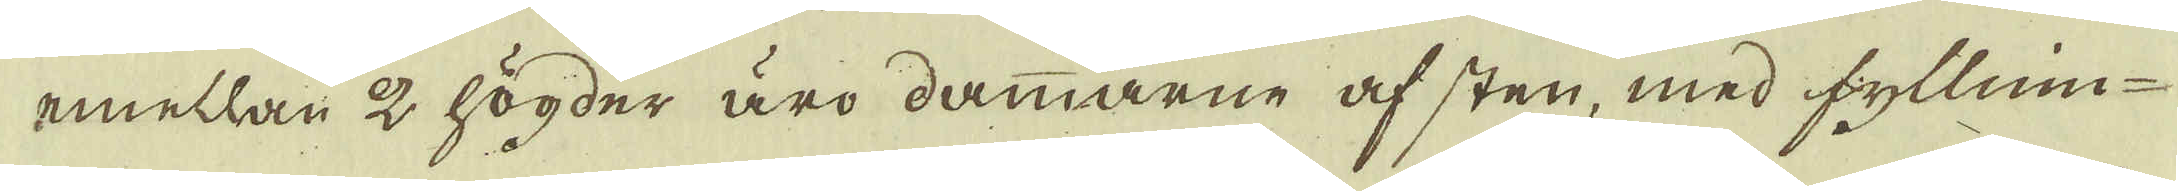emellan 2 högder äro dammarne af sten, med fyllnin-
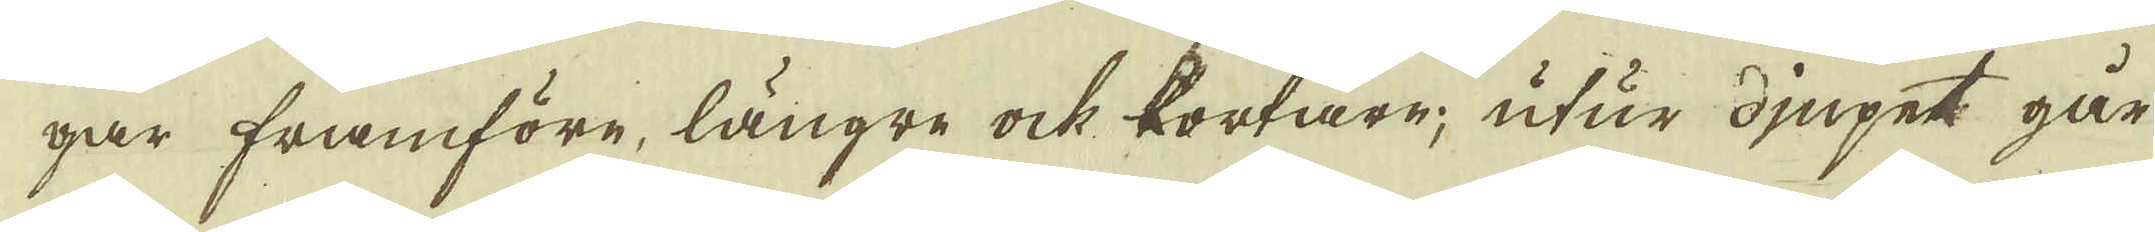gar framföre, längre ock kortare, utur djupet går
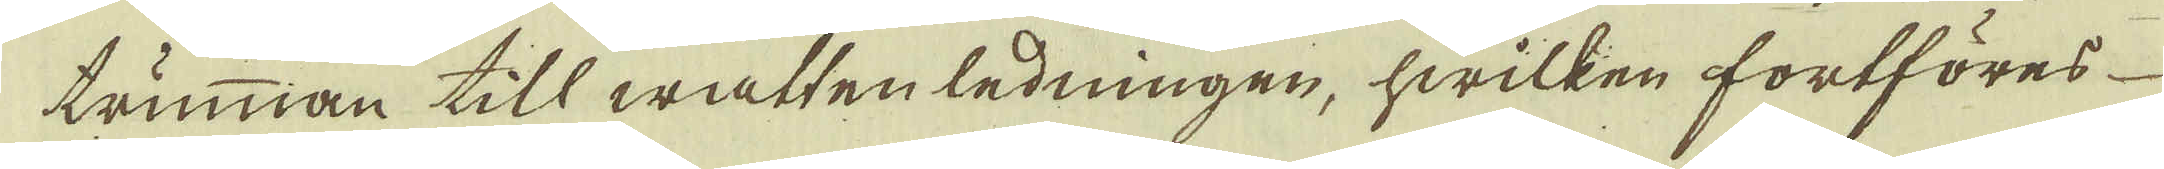trumman till watten ledningen, hwilken fortföres
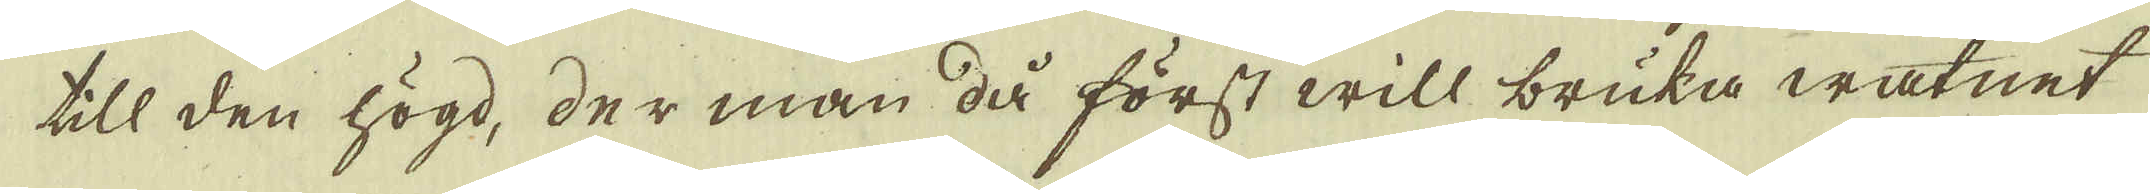till den högd, der man då först will bruka watnet
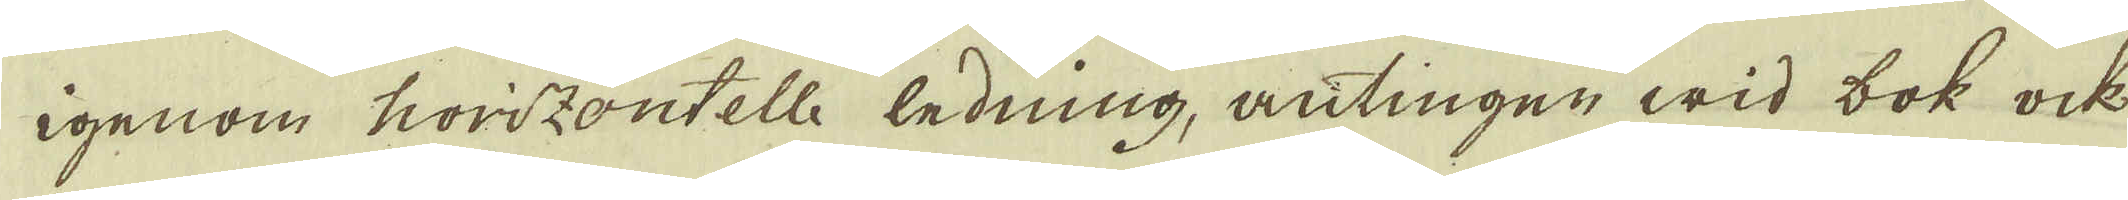igenom horizontelle ledning, antingen wid bok ock
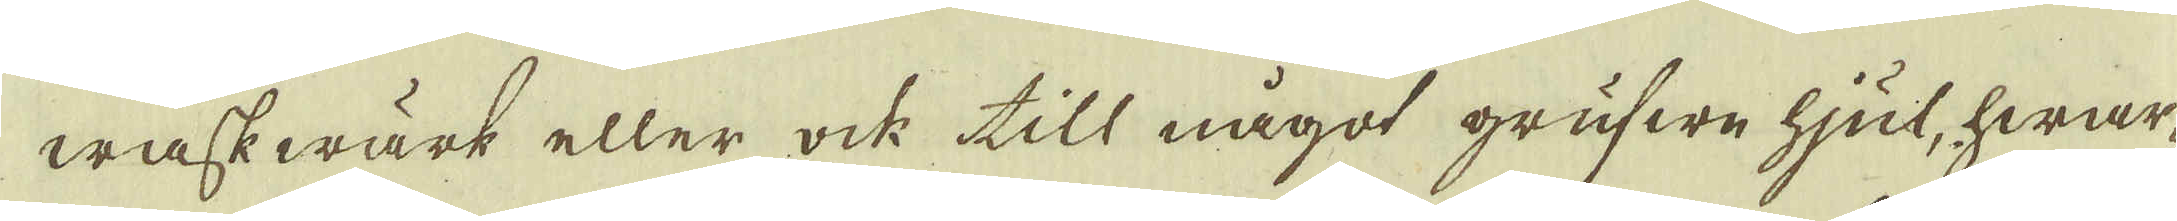waskwärk eller ock till något grufwe hjul, hwar-
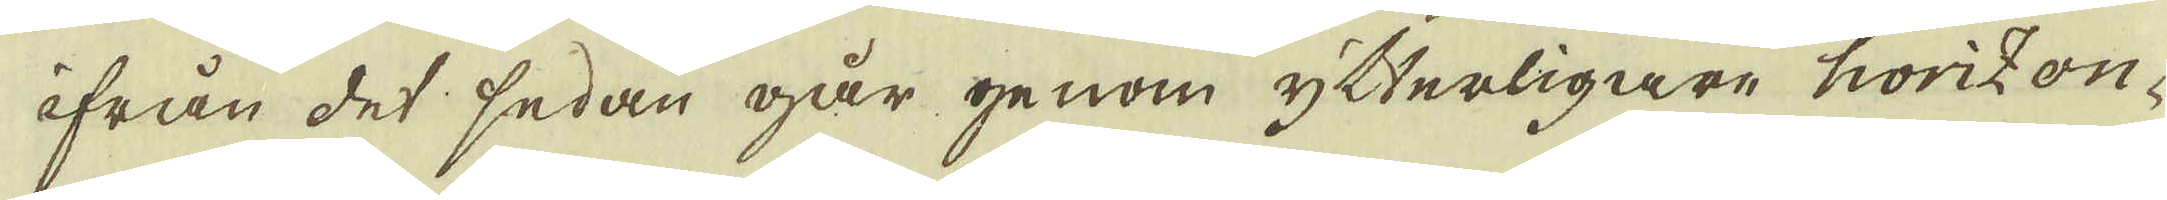ifrån det sedan går genom ytterligare horizon-
